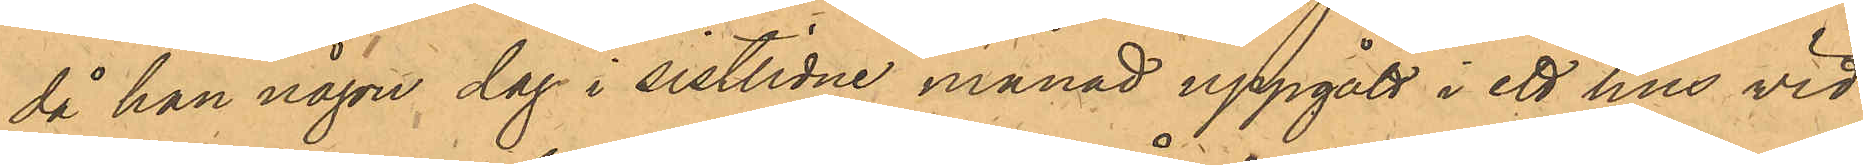då han någon dag i sistlidne månad uppgått i ett hus vid
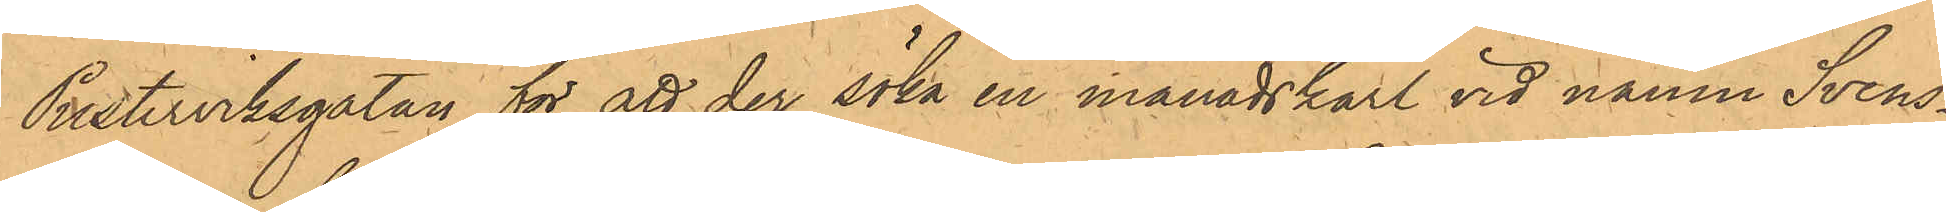Pusterviksgatan för att der söka en månadskarl vid namn Svens¬
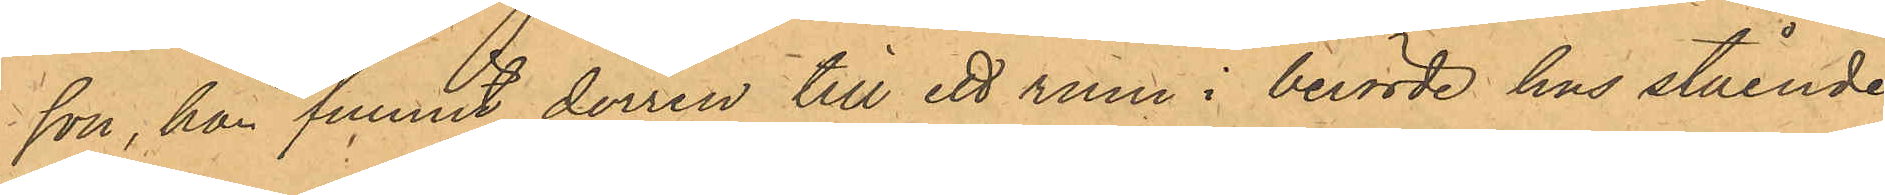son, han funnit dörren till ett rum i berörde hus stående
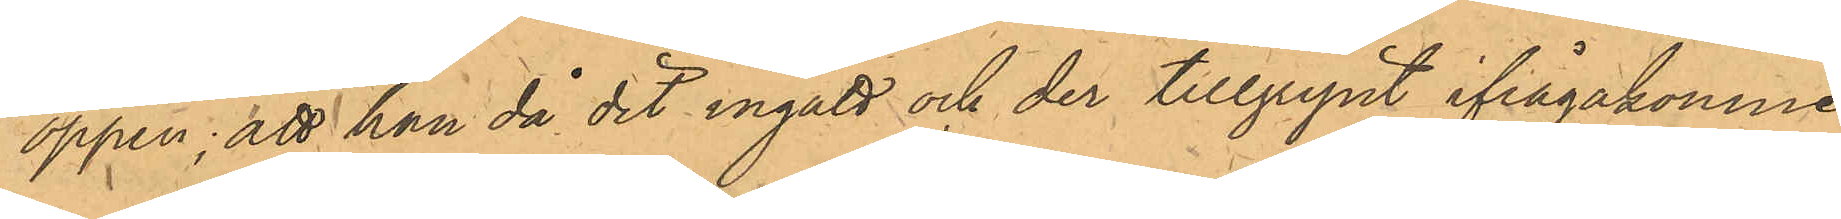öppen; att han då dit ingått och der tillgripit ifrågakomne
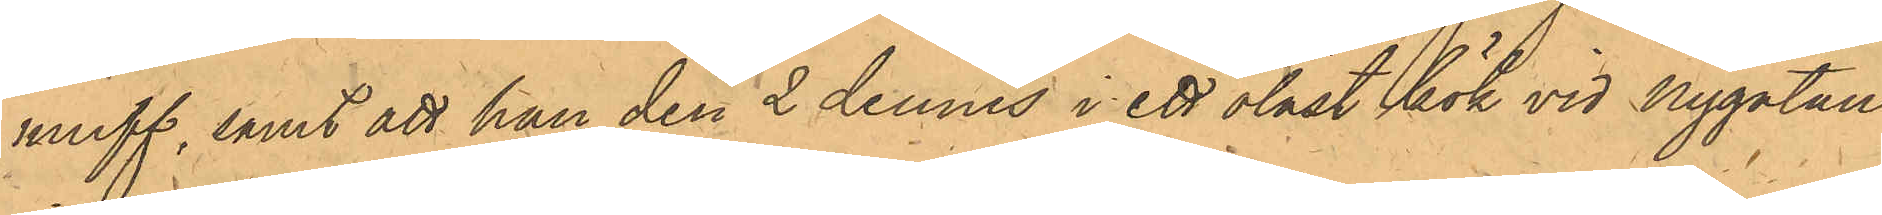muff, samt att han den 2 dennes i ett olåst kök vid Nygatan
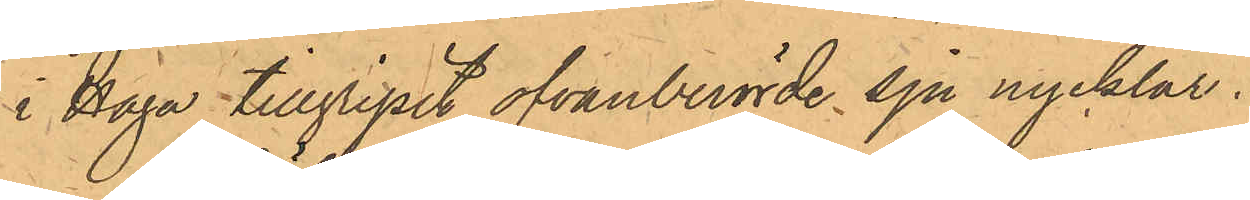i Haga tillgripit ofvanberörde sju nycklar.
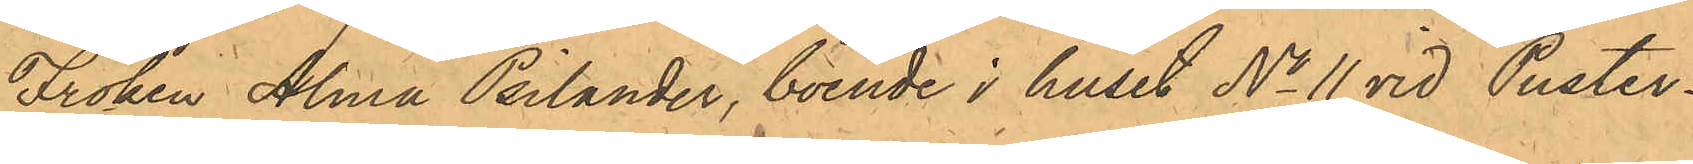Fröken Alma Psilander, boende i huset No 11 vid Puster¬
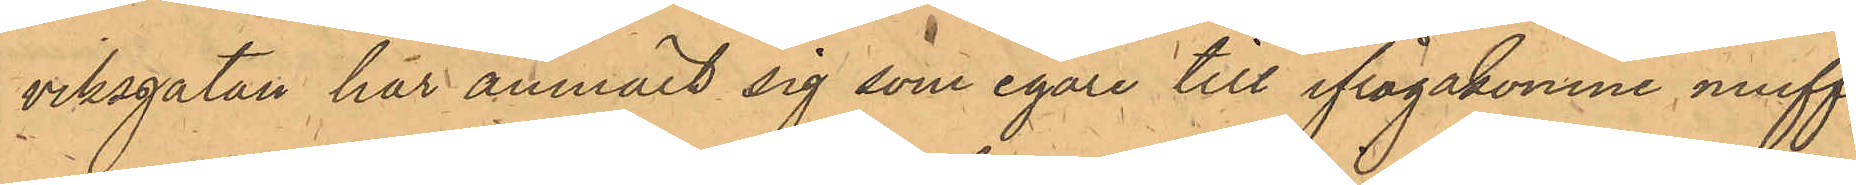viksgatan har anmält sig som egare till ifrågakomne muff,
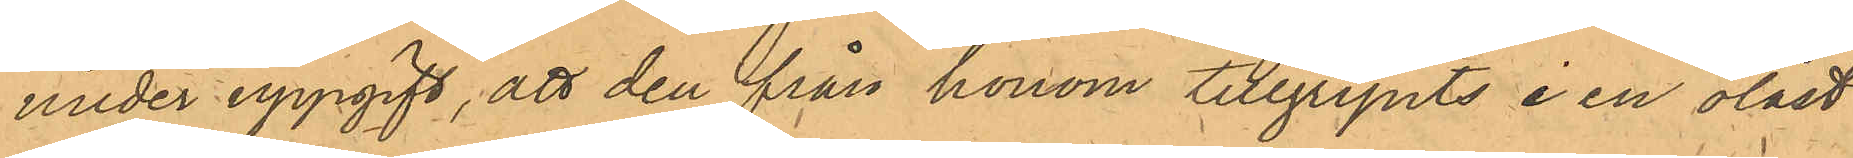under uppgift, att den från honom tillgripits i en olåst
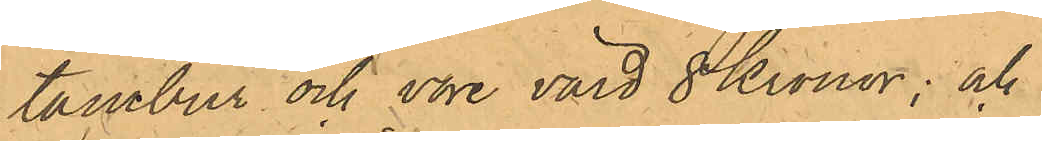tambur och vore värd 8 Kronor; och
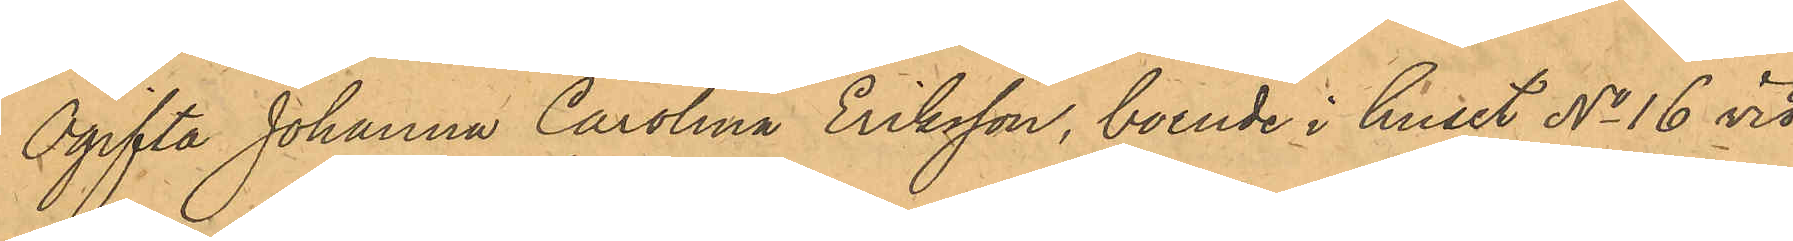Ogifta Johanna Carolina Eriksson, boende i huset No 16 vid
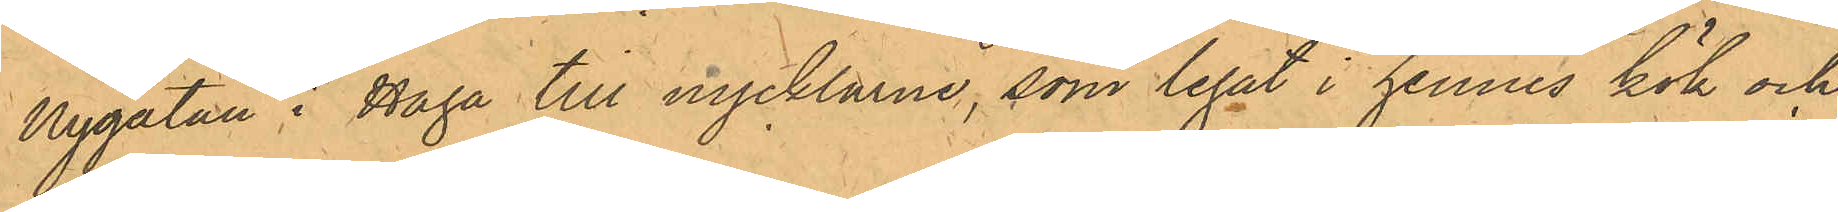Nygatan i Haga till nycklarna, som legat i hennes kök och
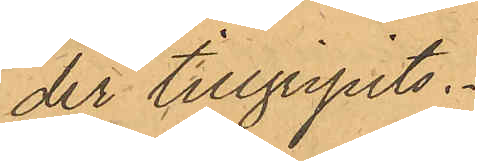der tillgripits.
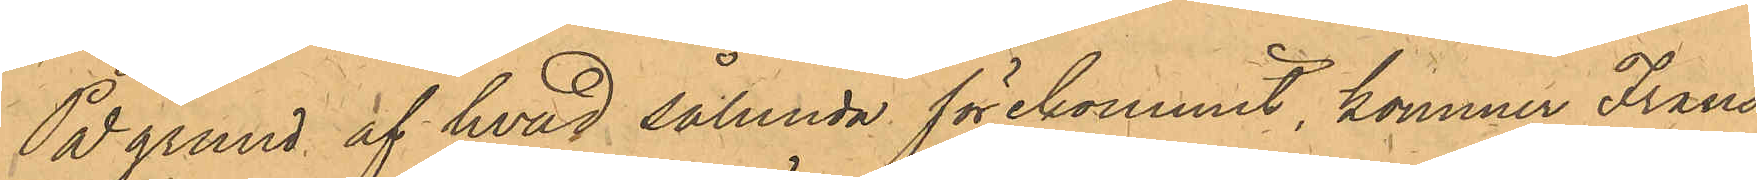På grund af hvad sålunda förekommit, kommer Frans
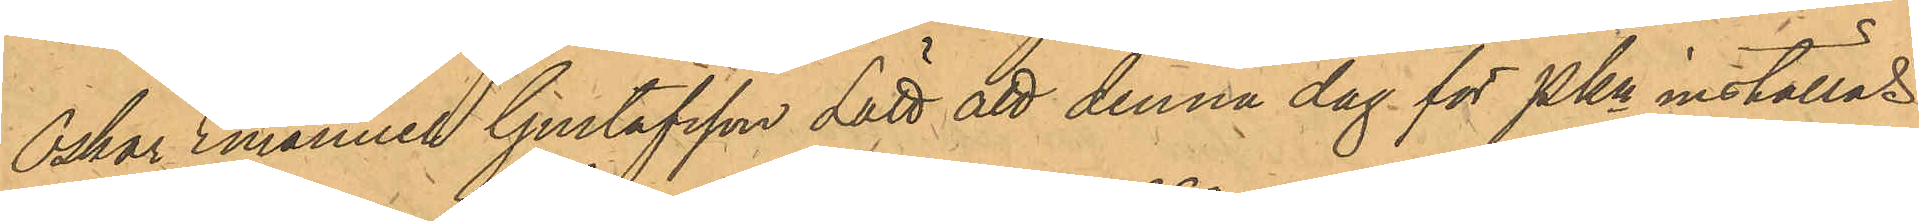Oskar Emanuel Gustafsson Lätt att denna dag för PKn inställas.
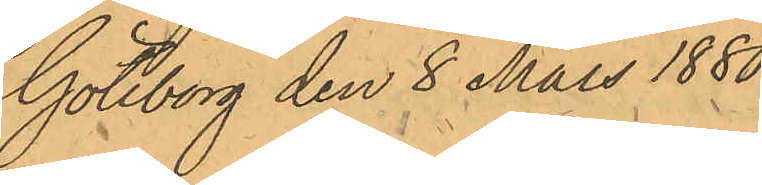Göteborg den 8 Mars 1880.
